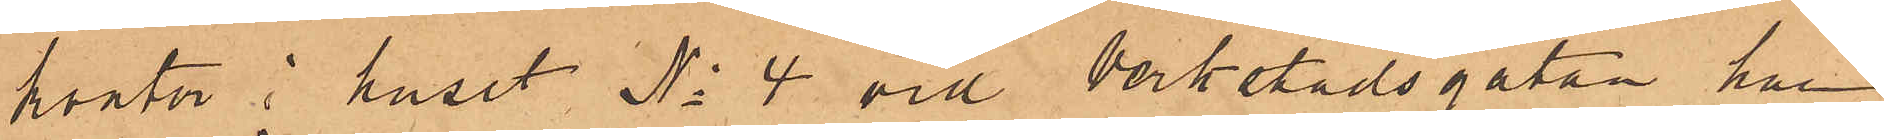kontor i huset No 4 vid Verkstadsgatan, har
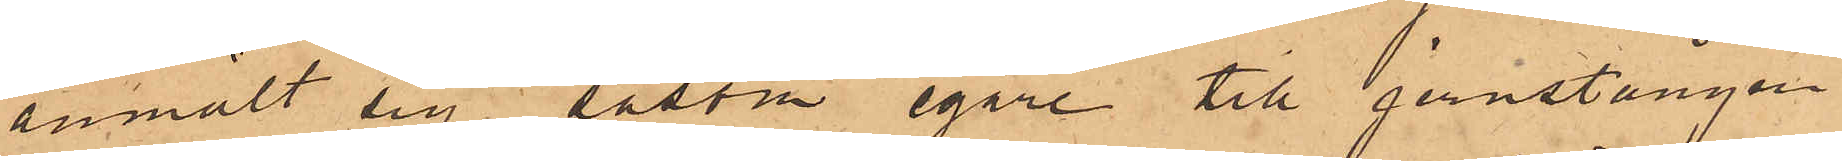anmält sig såsom egare till jernstången
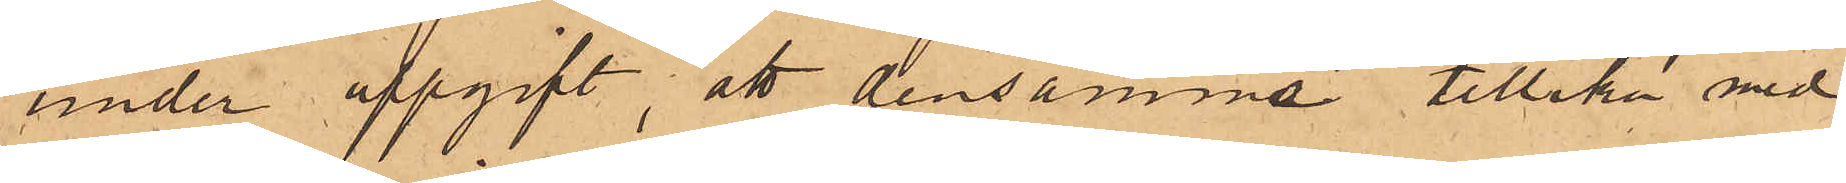under uppgift, att densamma tillika med
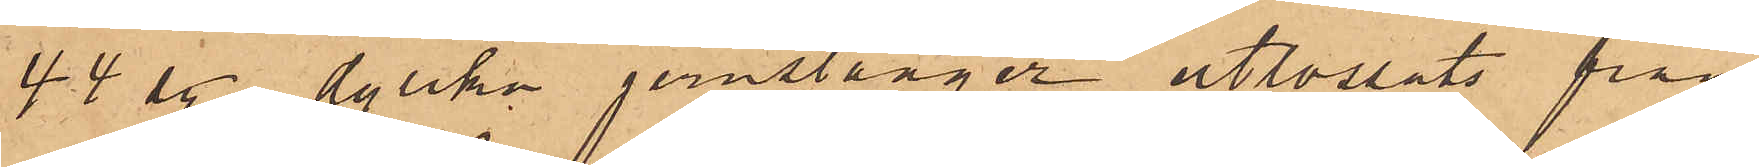44 sty. dylika jernstänger utlossats från
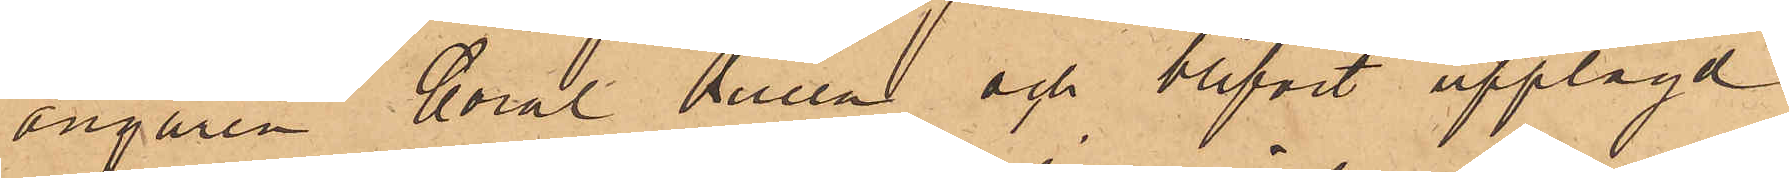ångaren Coral Queen och blifvit upplagd
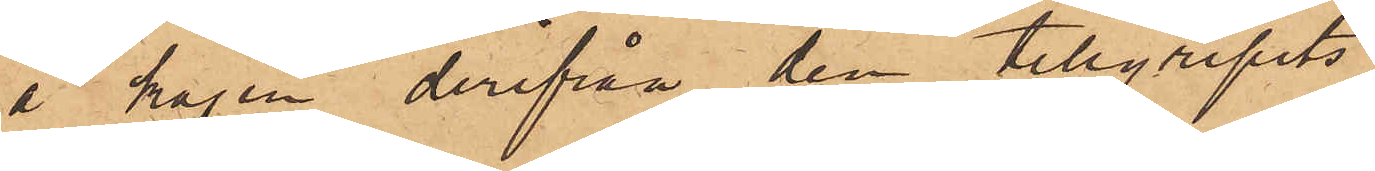å kajen derifrån den tillgripits.
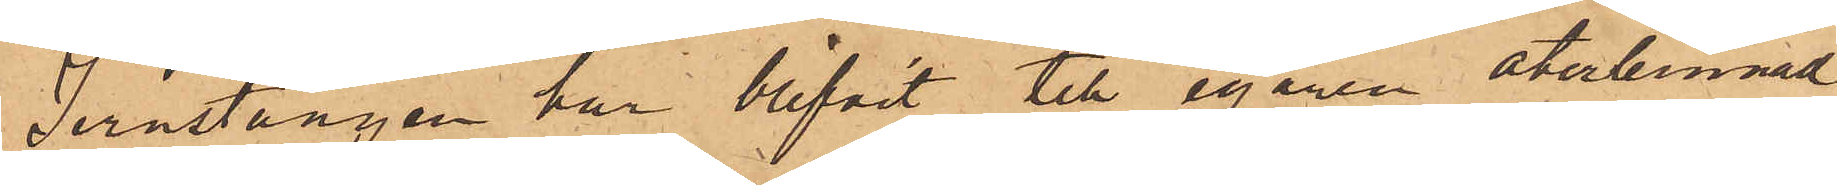Jernstången har blifvit till egaren återlemnad.
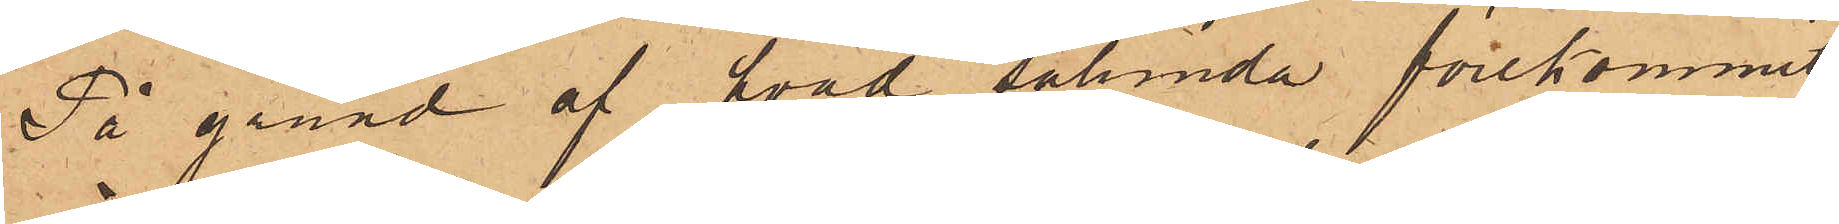På grund af hvad sålunda förekommit,
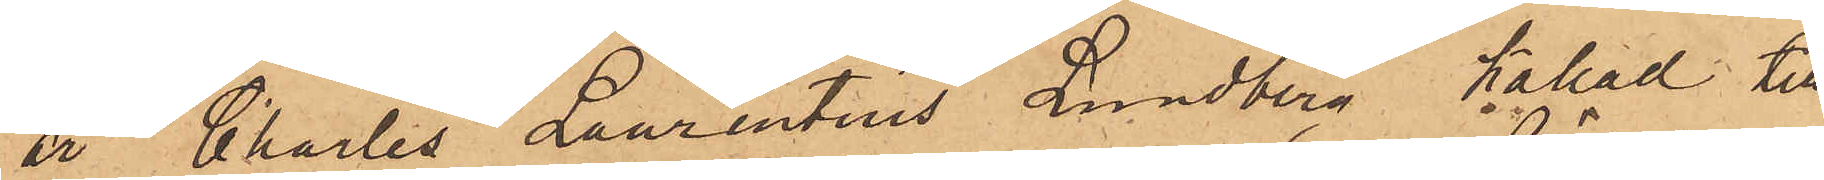är Charles Laurentius Lundberg kallad till
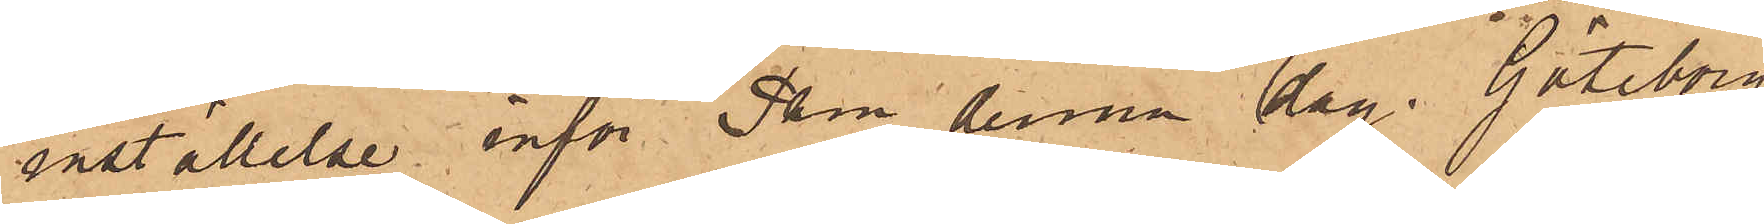inställelse inför Pkn denna dag. Göteborg
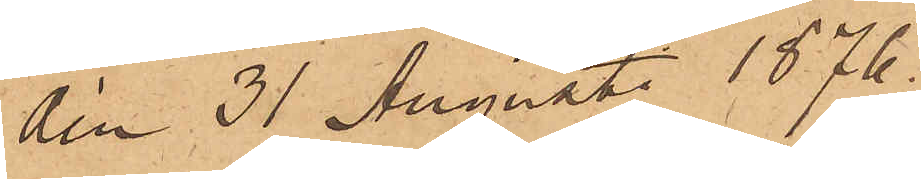den 31 Augusti 1876.
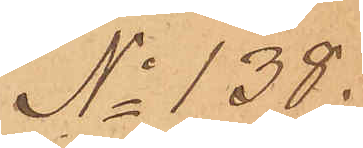No 138.
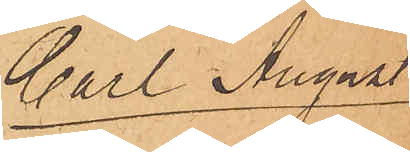Carl August
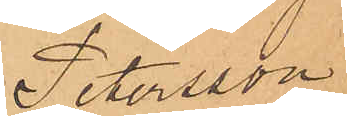Petersson
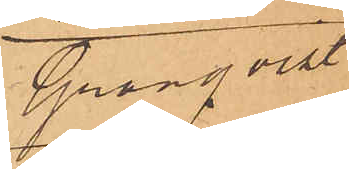Granqvist
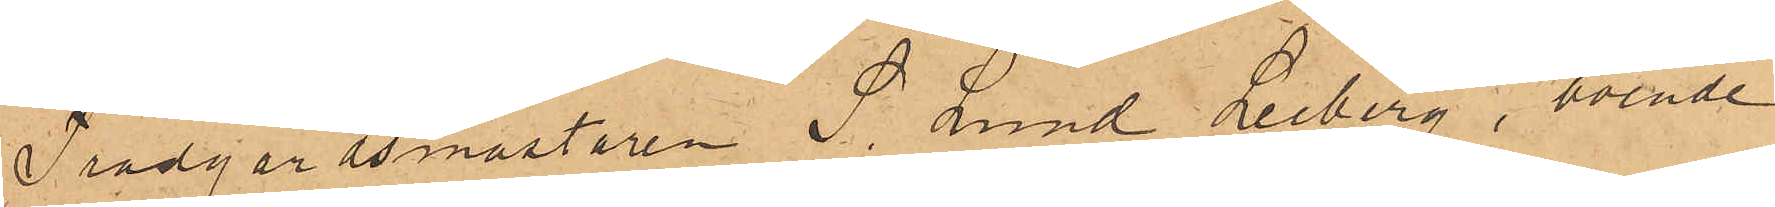Trädgårdsmästaren S. Lund Leiberg, boende
